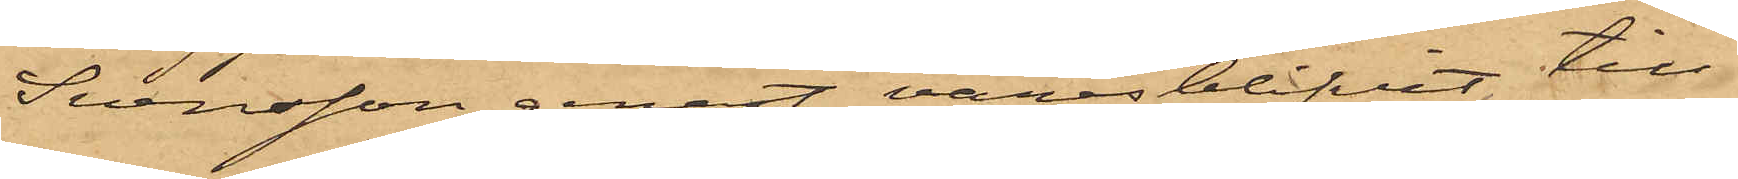Svensson genast varseblifvit till¬
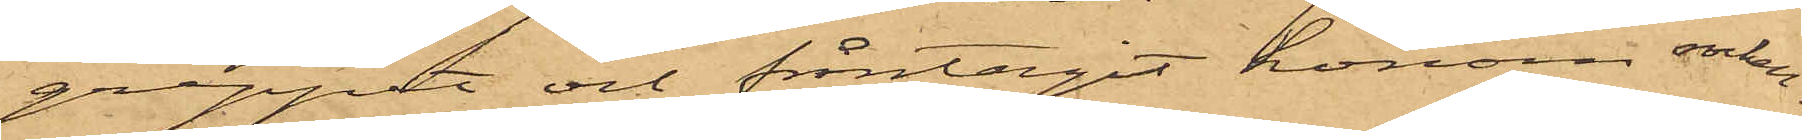greppet och fråntagit honom rocken.
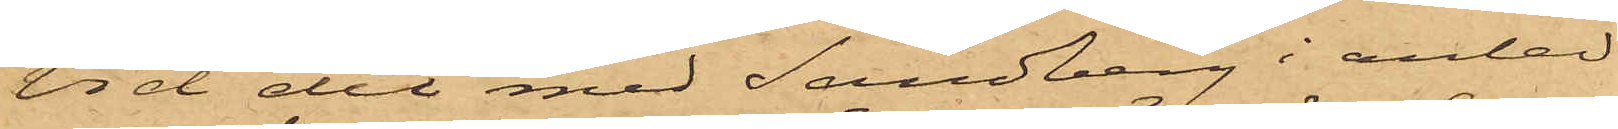Vid det med Sandberg i anled¬
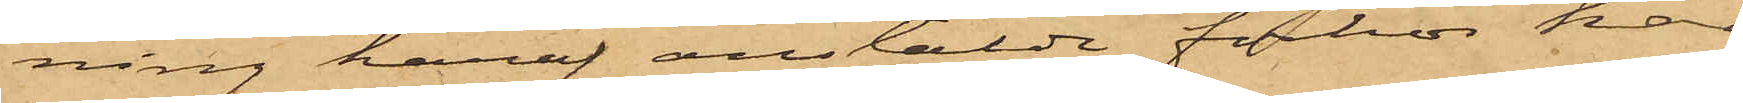ning häraf anstälde förhör har
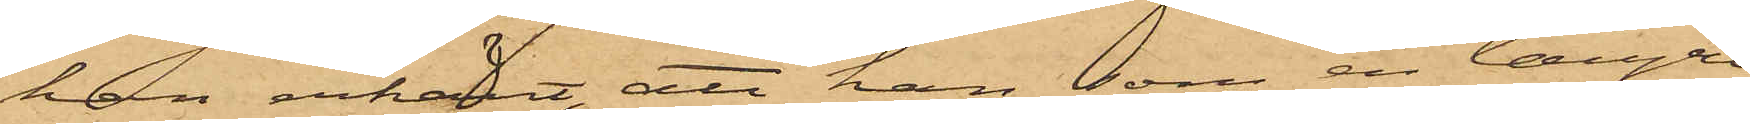han erkänt, att han, som en längre
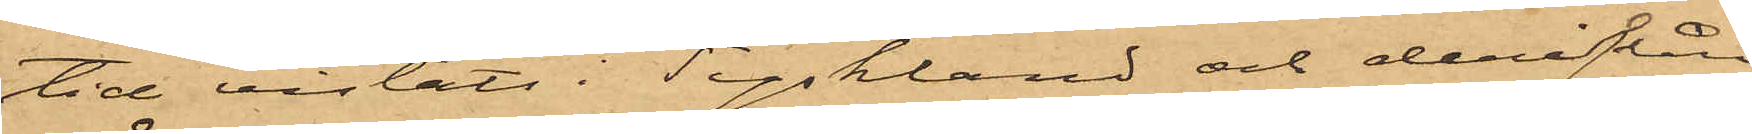tid vistats i Tyskland och derifrån
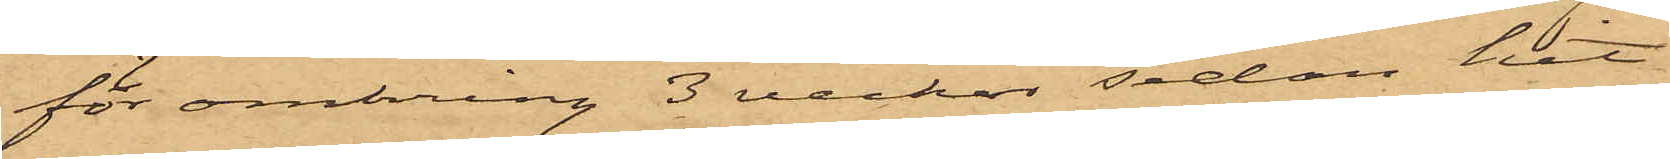för omkring 3 veckor sedan hit
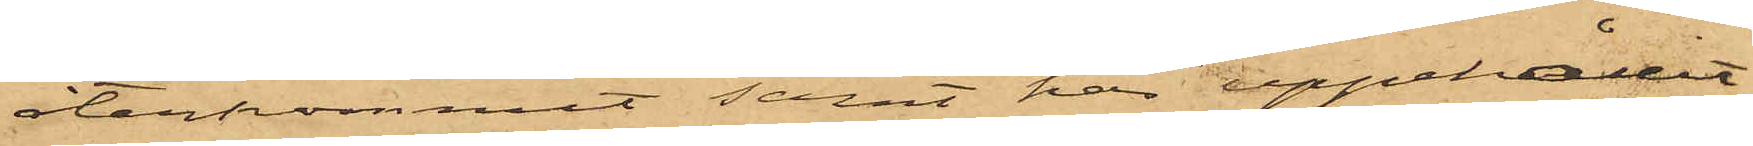återkommit samt här uppehållit
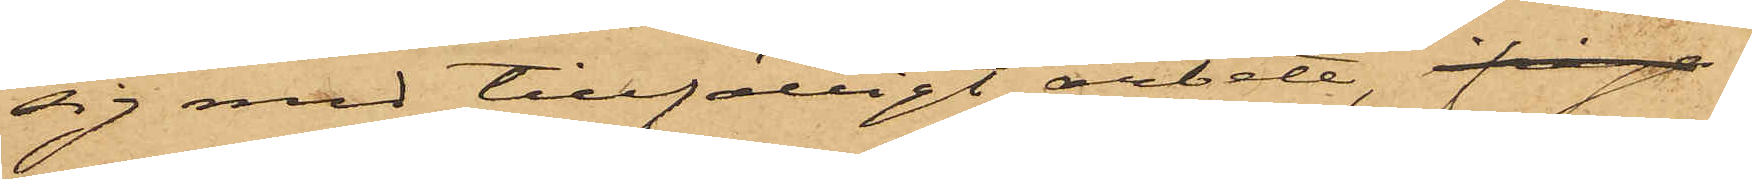sig med tillfälligt arbete, ifråga
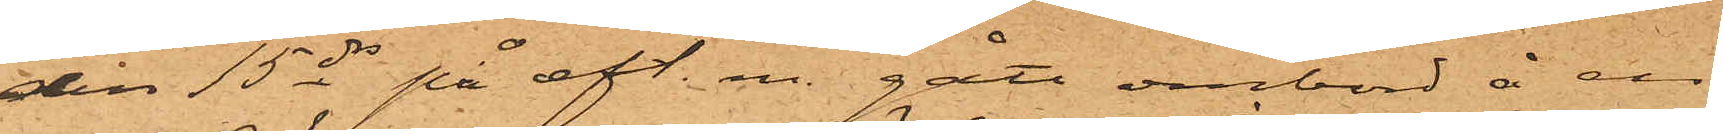den 15 ds på eft. m. gått ombord å en
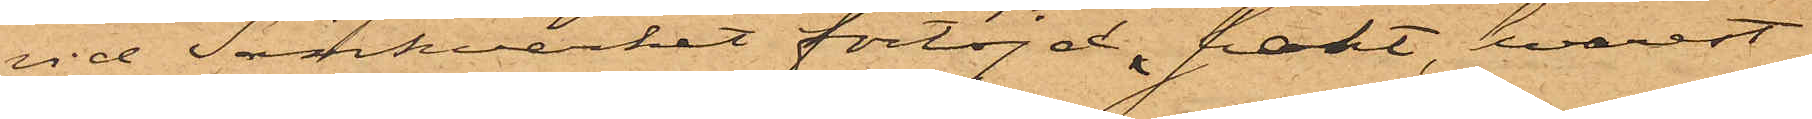vid Sänkverket förtöjd jakt, hvarest
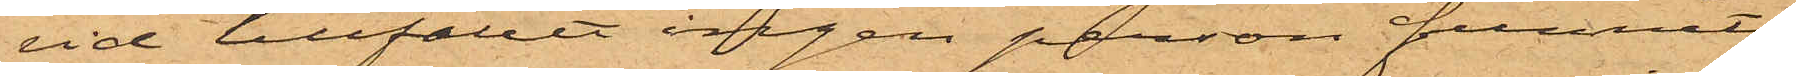vid tillfället ingen person funnits;
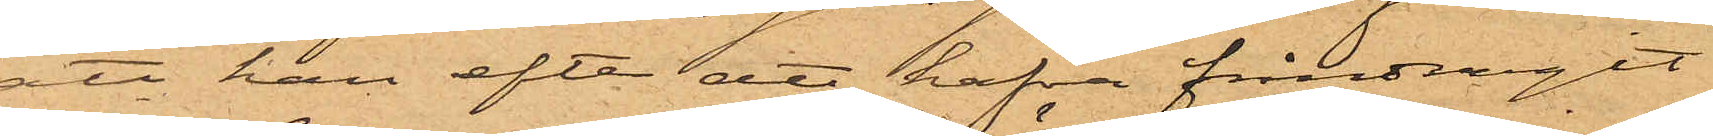att han efter att hafva fråndragit
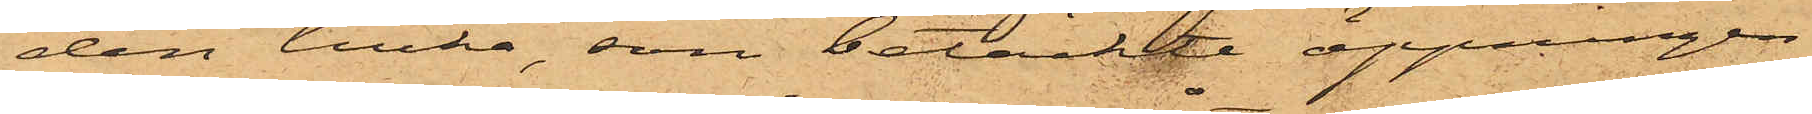den lucka, som betäckte öppningen
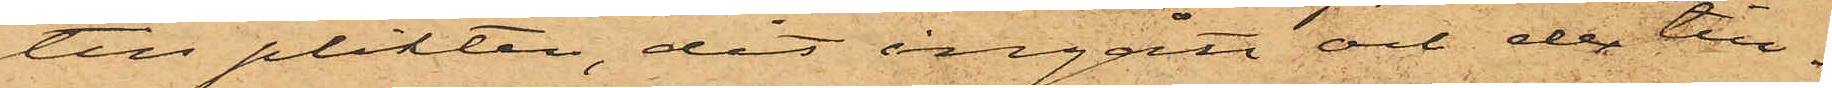till plikten, dit ingått och der till¬
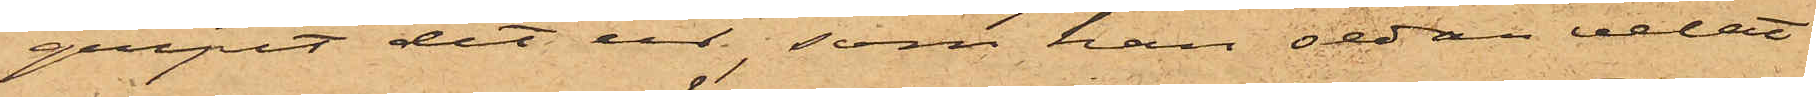gripit det ur, som han sedan velat
